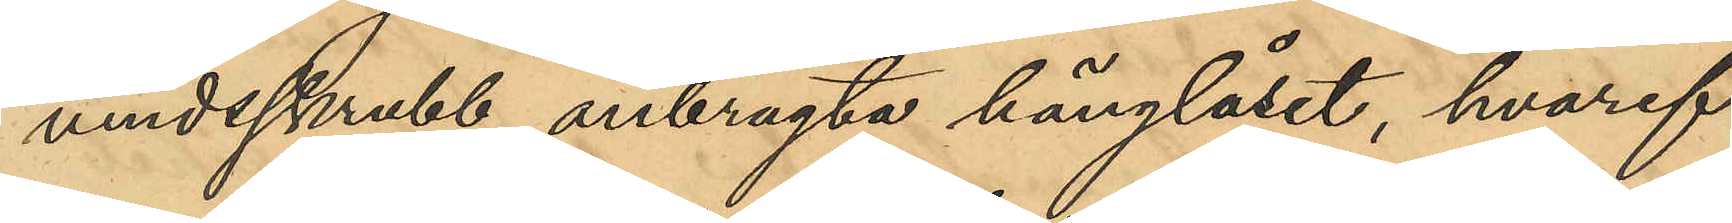vindsskrubb anbragta hänglåset, hvaref¬
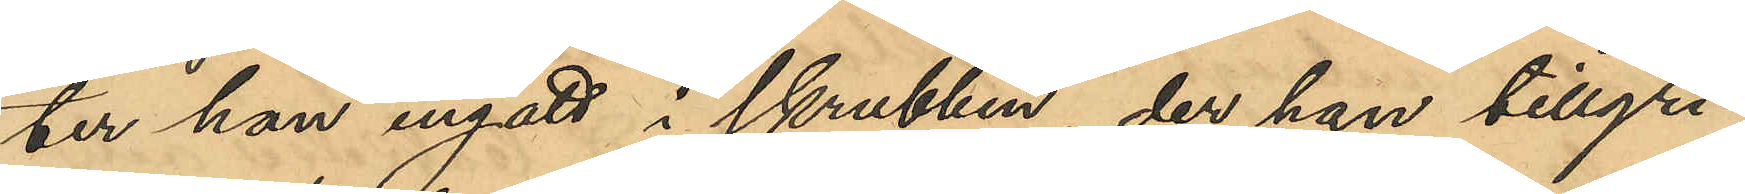ter han ingått i skrubben, der han tillgri¬
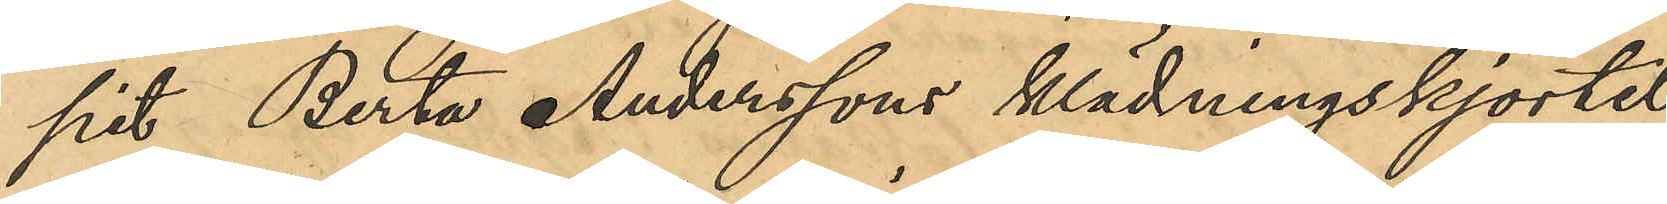pit Berta Anderssons klädningskjortel
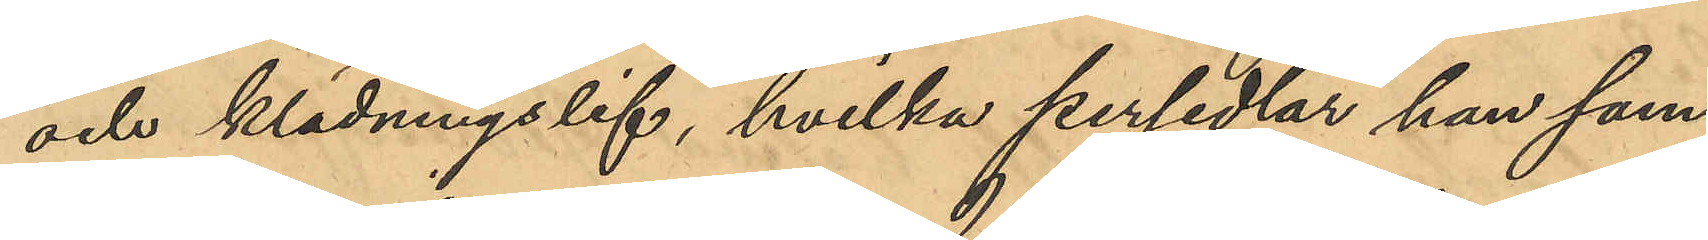och klädningslif, hvilka persedlar han sam¬
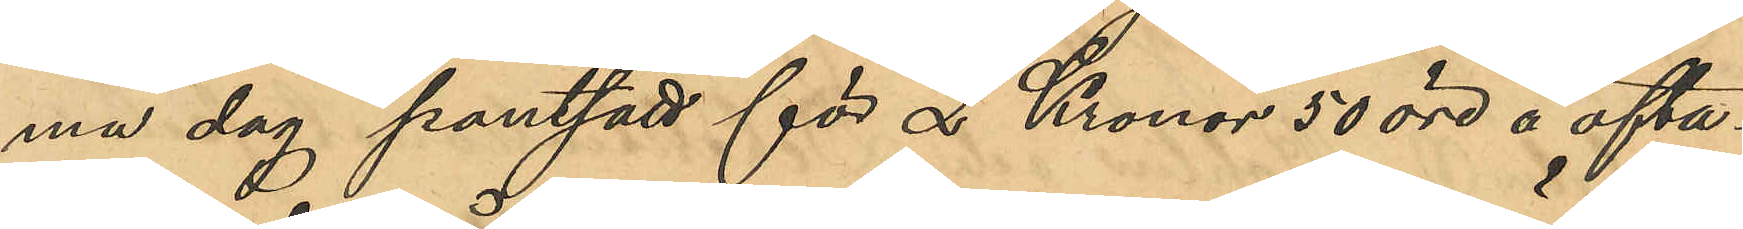ma dag pantsatt för 2 Kronor 50 öre å ofta¬
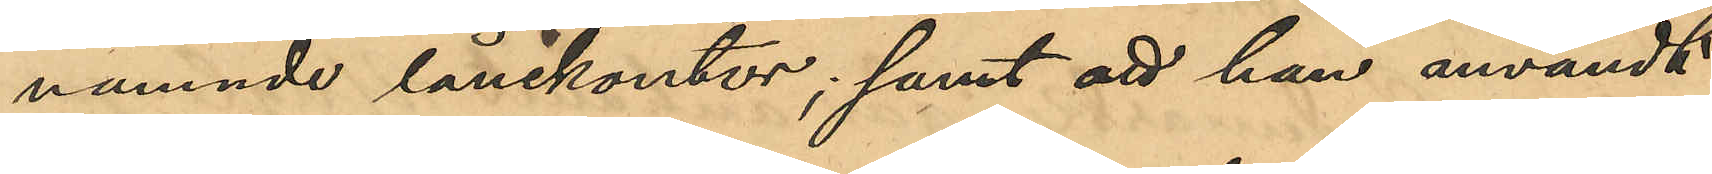nämnde lånekontor; samt att han användt
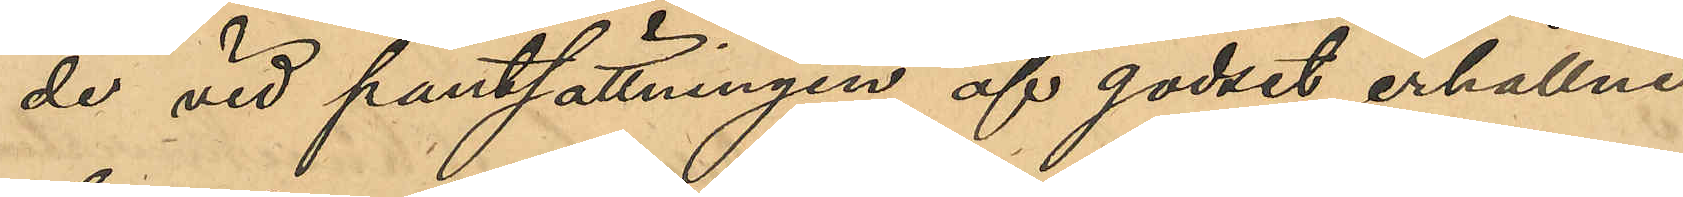de vid pantsättningen af godset erhållne
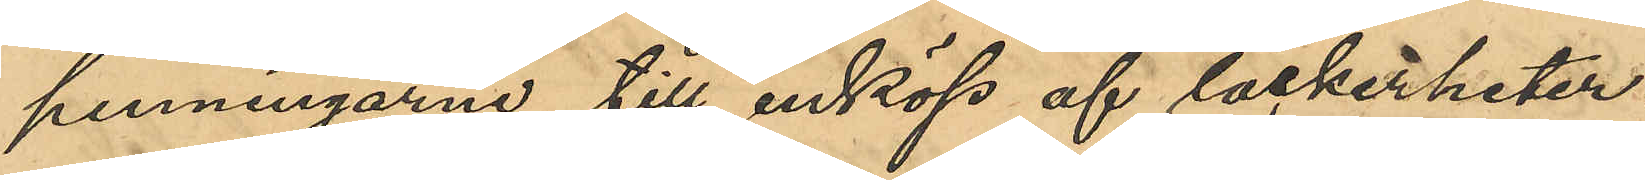penningarne till inköp af läckerheter.
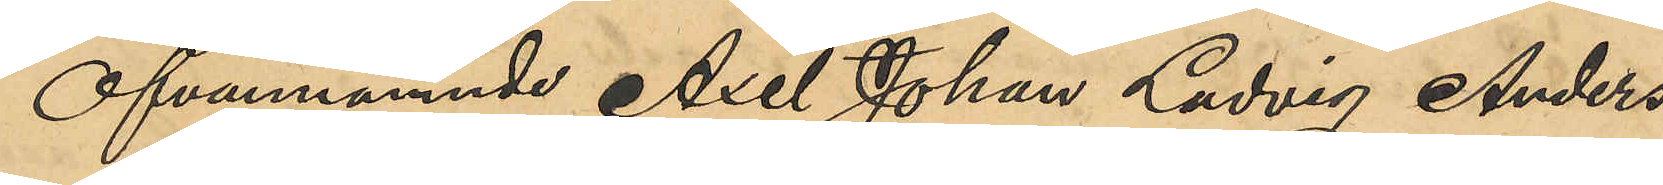Ofvannämnde Axel Johan Ludvig Anders¬
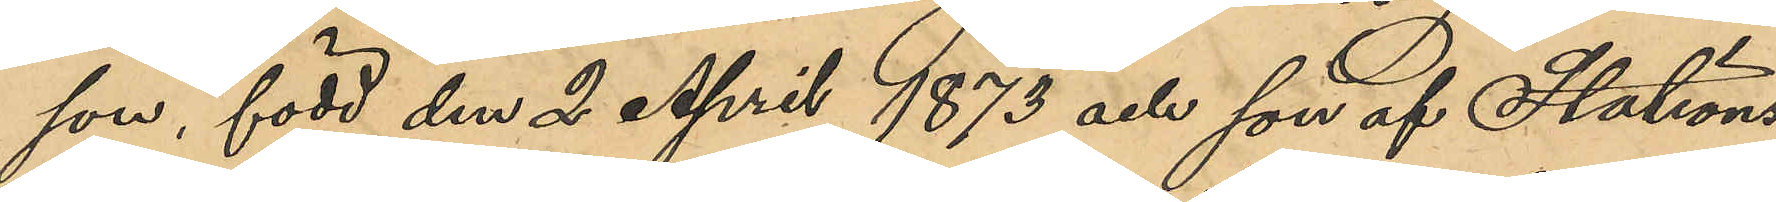son, född den 2 April 1873 och son af Stations¬
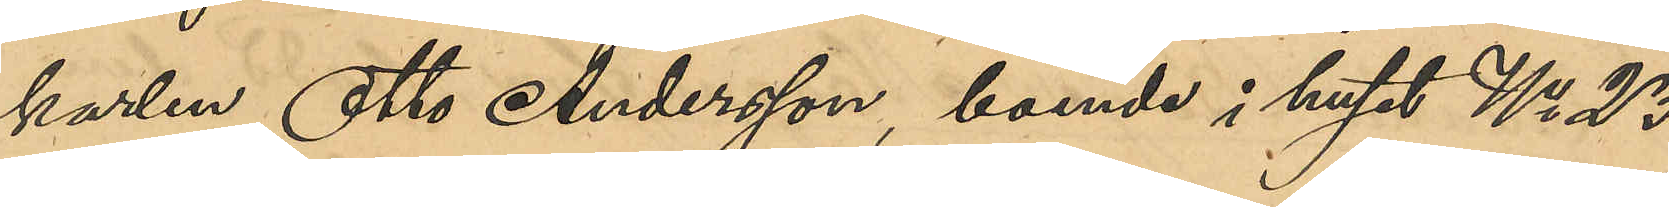karlen Otto Andersson, boende i huset No 23
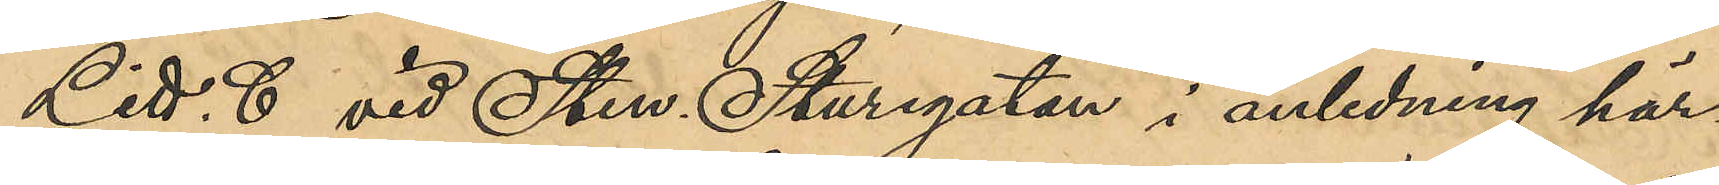Litt. C vid Sten Sturegatan i anledning här¬
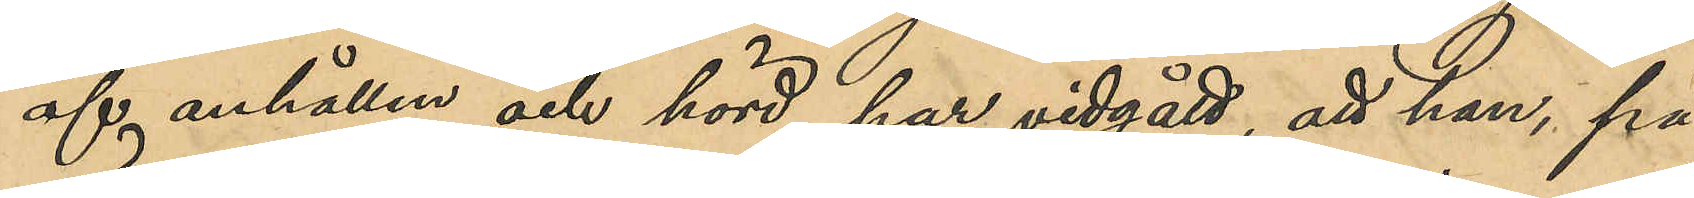af anhållen och hörd, har vidgått, att han, på
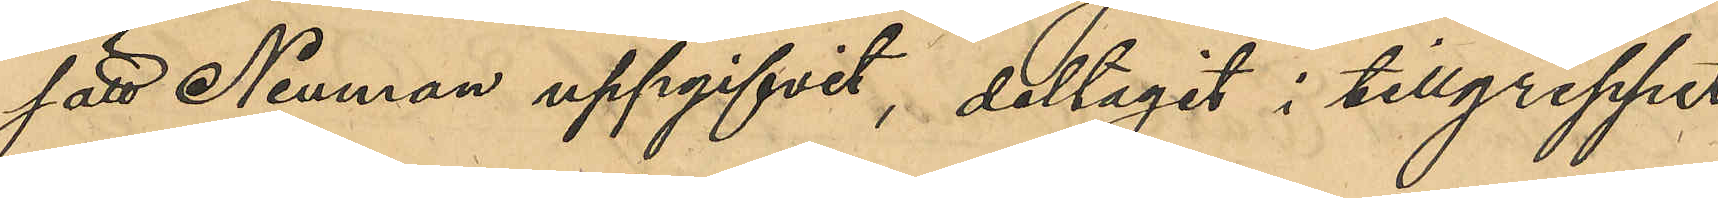sätt Neuman uppgifvit, deltagit i tillgreppet
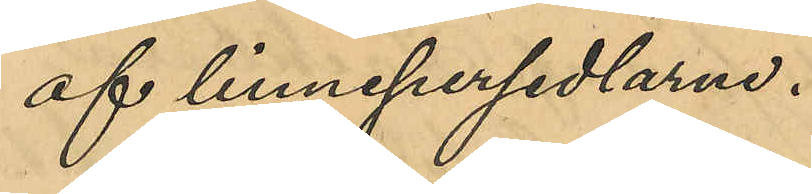af linnepersedlarne.
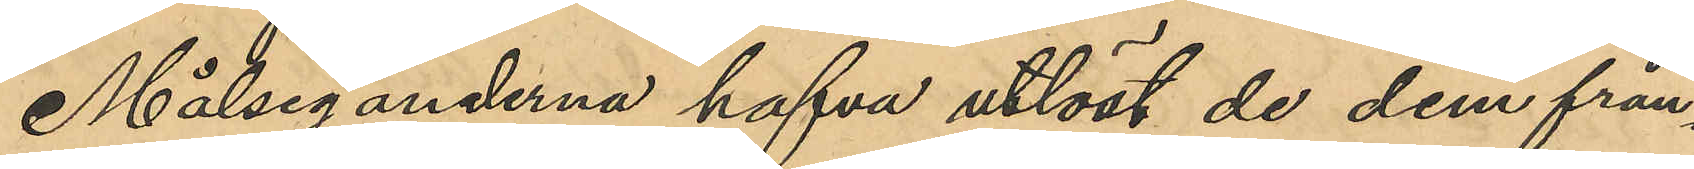Målseganderna hafva utlöst de dem från¬
